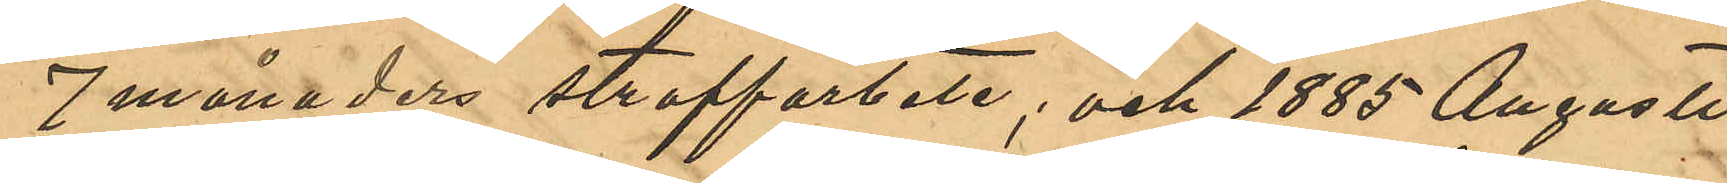7 månaders straffarbete; och 1885 Augusti
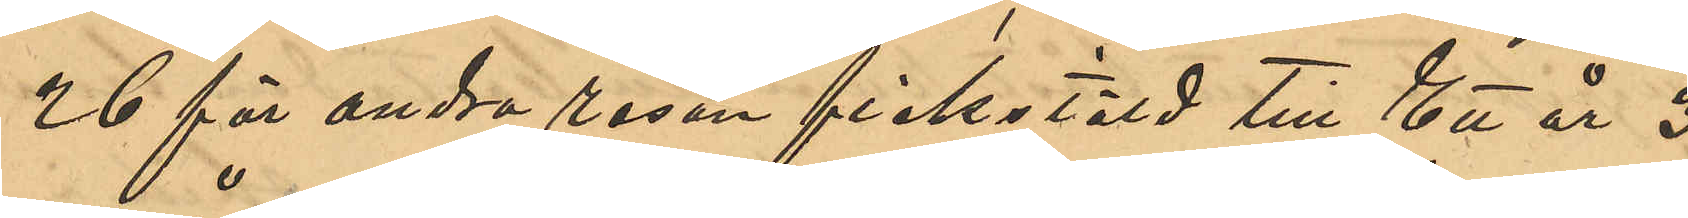26 för andra resan fickstöld till Ett år 3
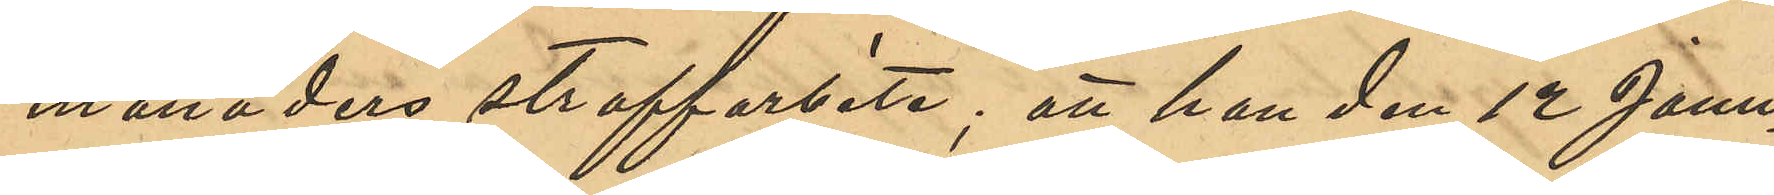månaders straffarbete; att han den 12 Janu¬
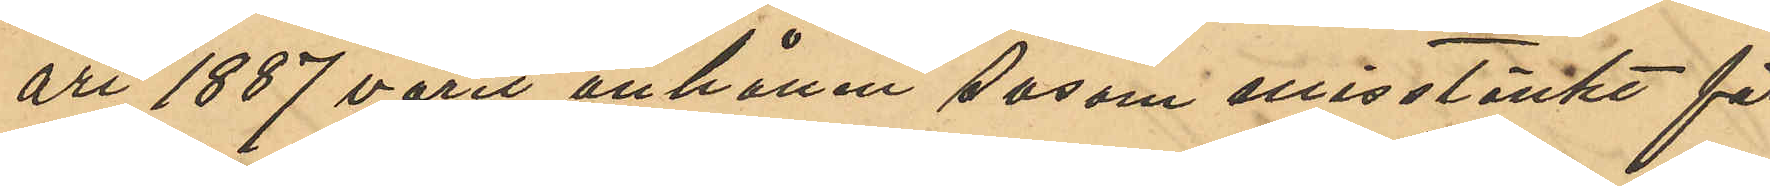ari 1887 varit anhållen såsom misstänkt för
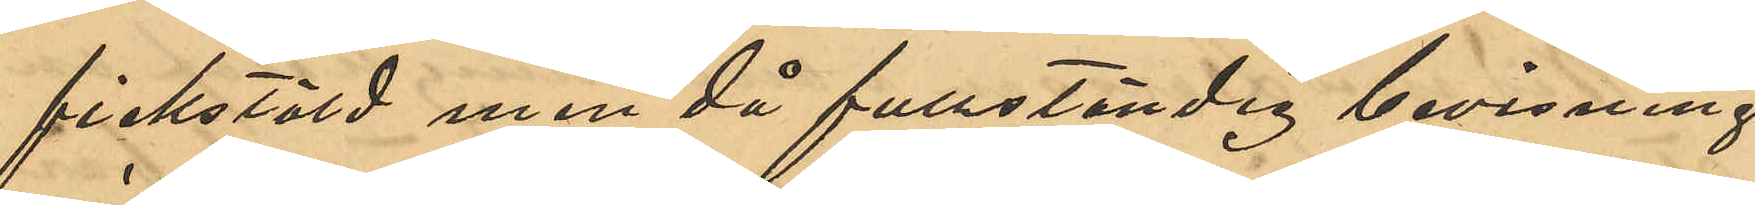fickstöld men då fullständig bevisning
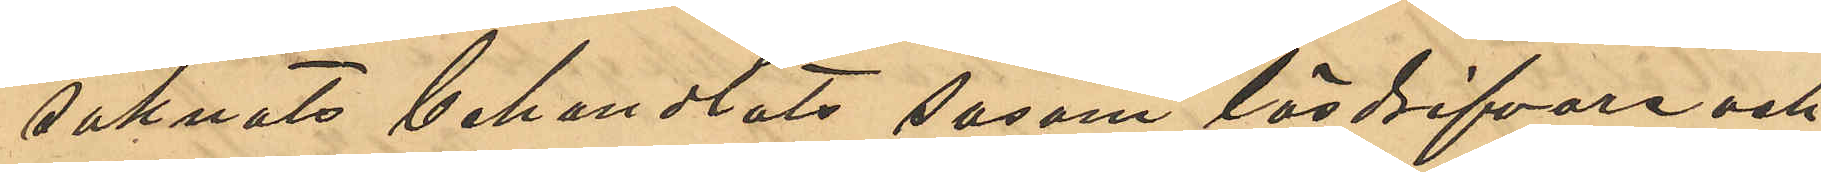saknats behandlats såsom lösdrifvare och
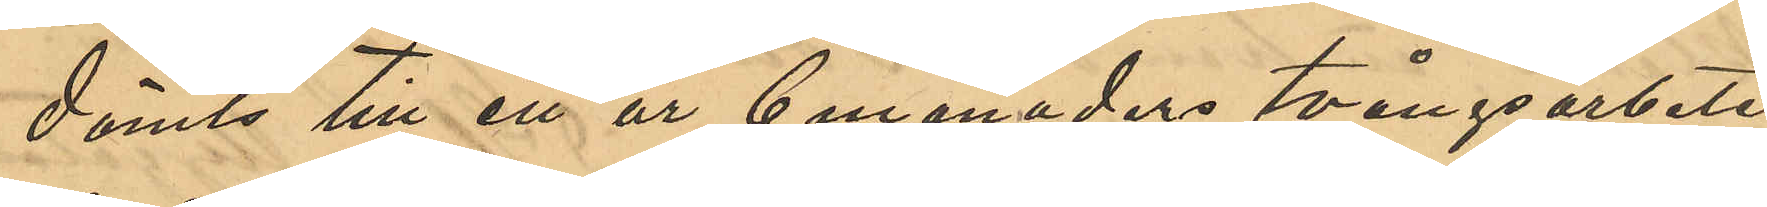dömts till ett år 6 manaders tvångsarbete;
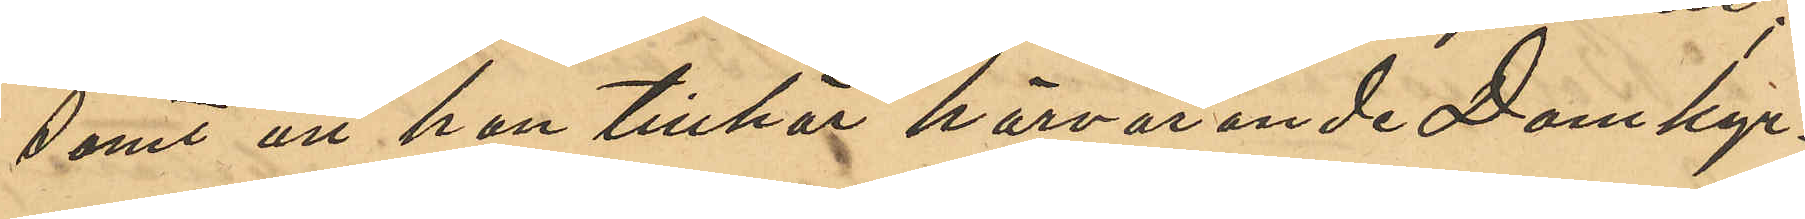samt att han tillhör härvarande Domkyr¬
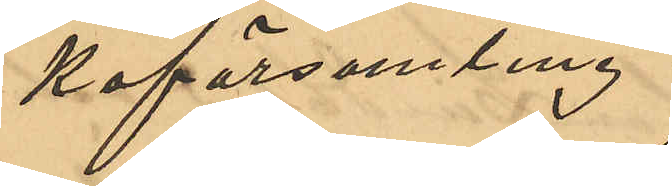koförsamling.
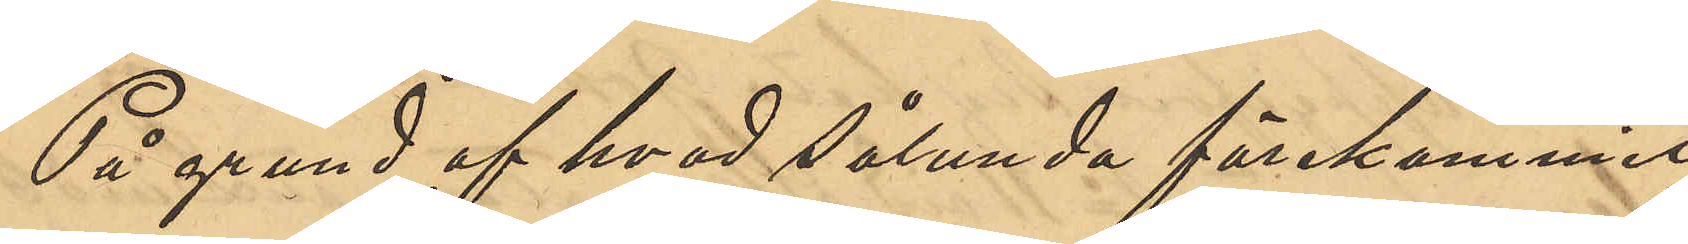På grund af hvad sålunda förekommit
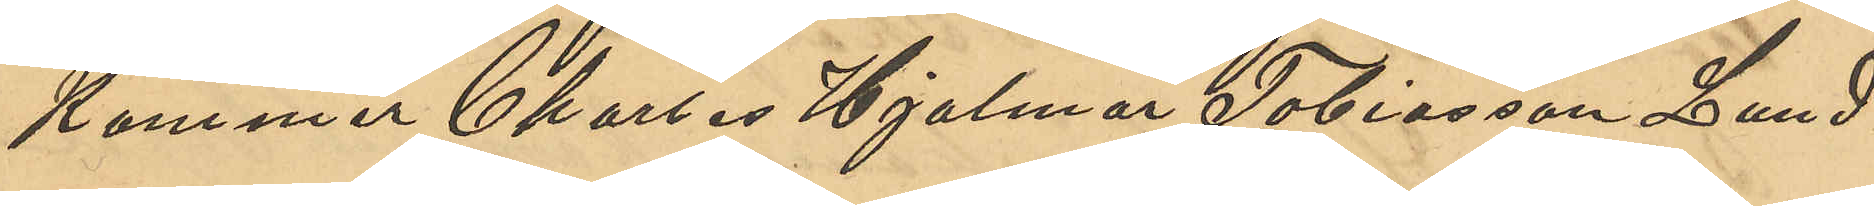Kommer Charles Hjalmar Tobiasson Lund¬
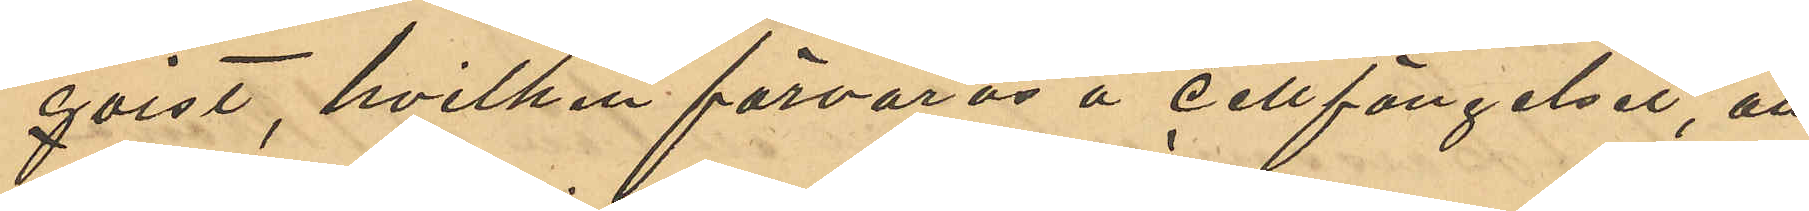qvist, hvilken förvaras å cellfängelset, att
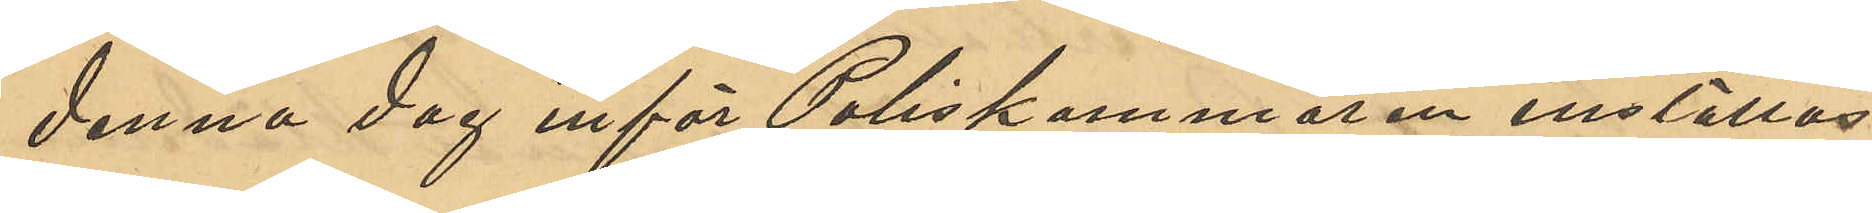denna dag inför Poliskammaren inställas.
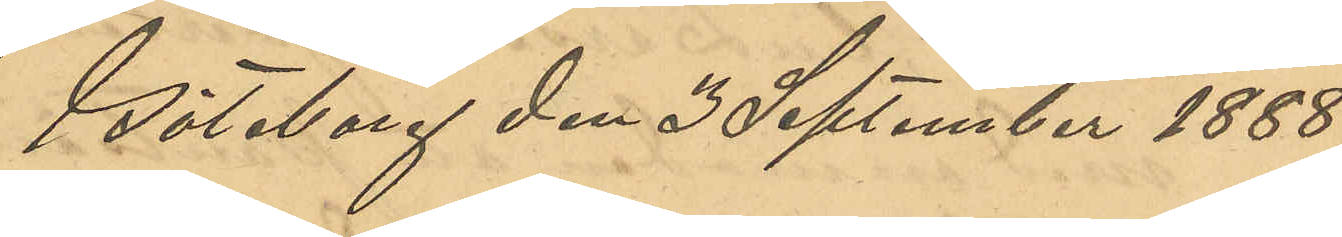Göteborg den 3 September 1888.
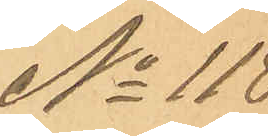No 118
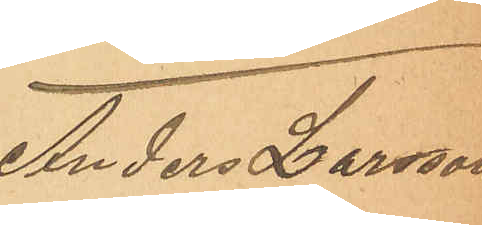Anders Larsson
